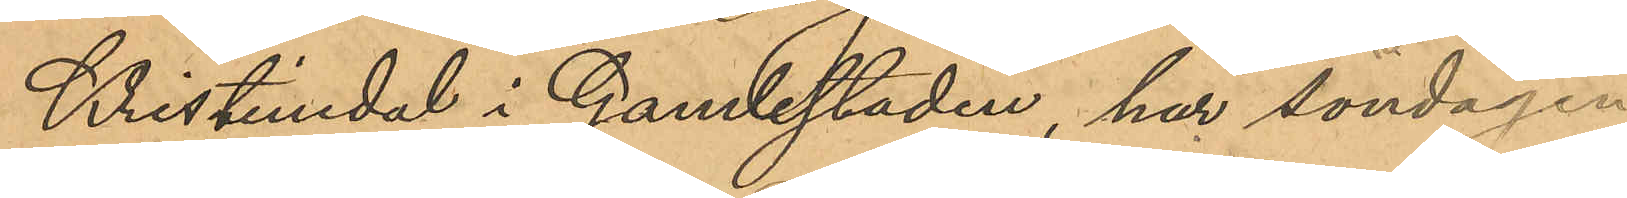Kristinedal i Gamlestaden, har söndagen
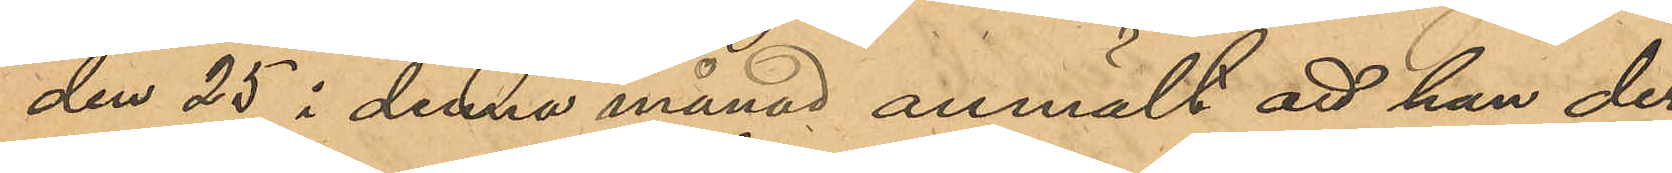den 25 i denna månad anmält att han der¬
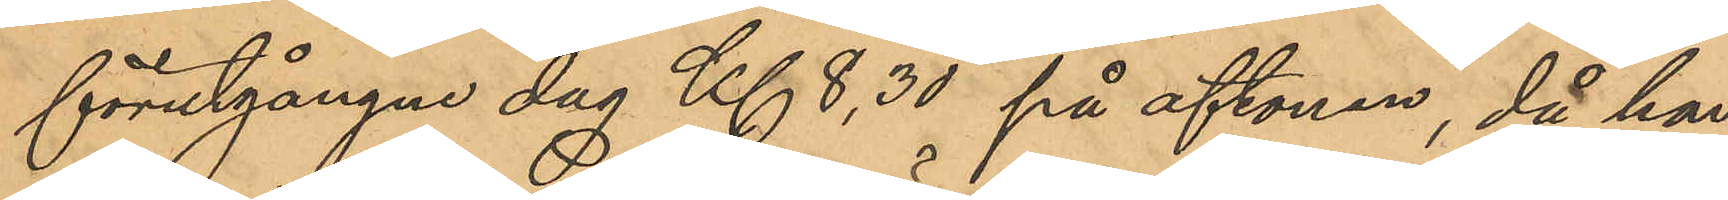förutgångne dag Kl 8,30 på aftonen, då han
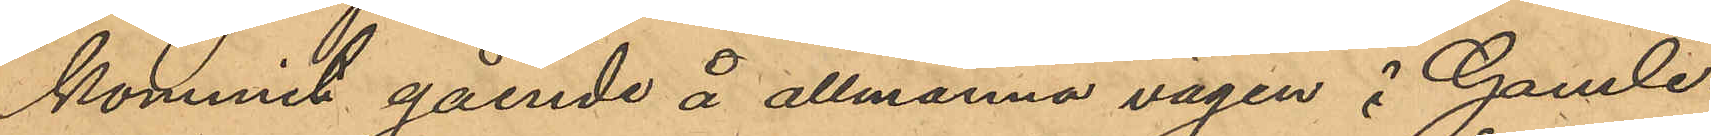kommit gående å allmänna vägen i Gamle¬
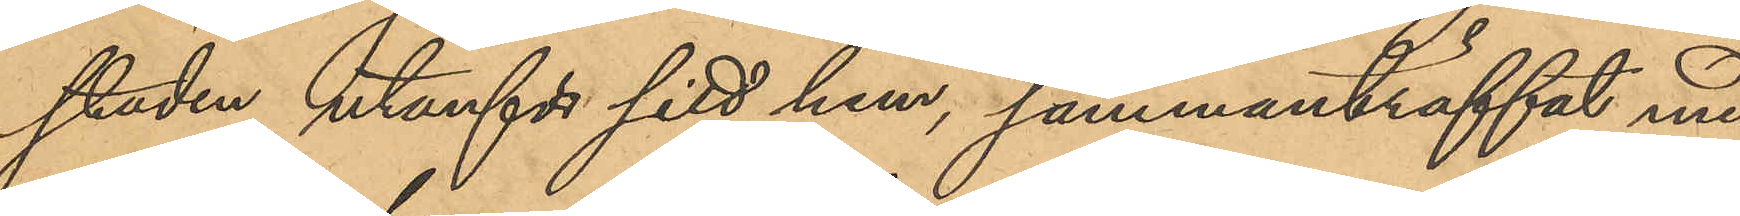staden utanför sitt hem, sammanträffat med
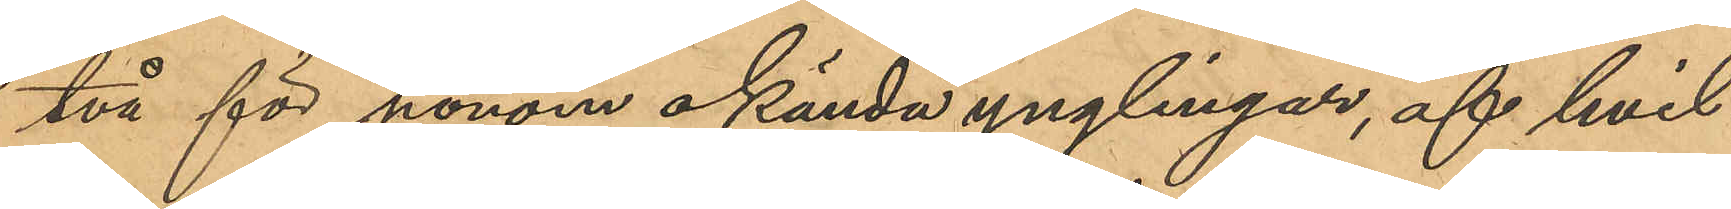två för honom okända ynglingar, af hvil¬
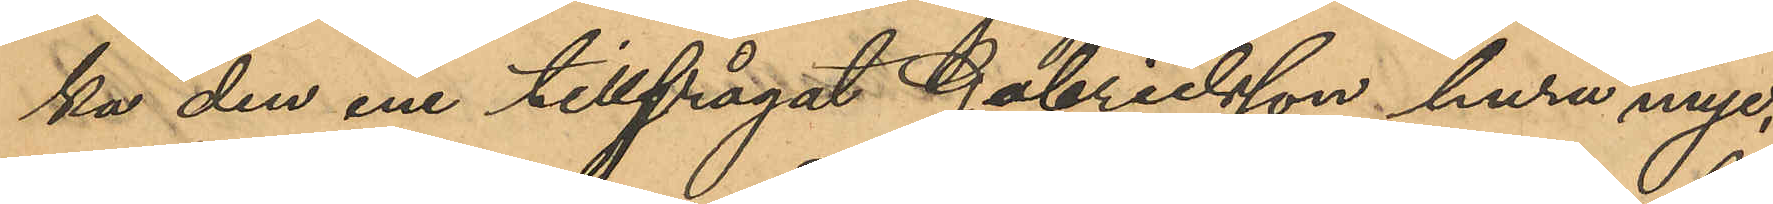ka den ene tillfrågat Gabrielsson huru myc¬
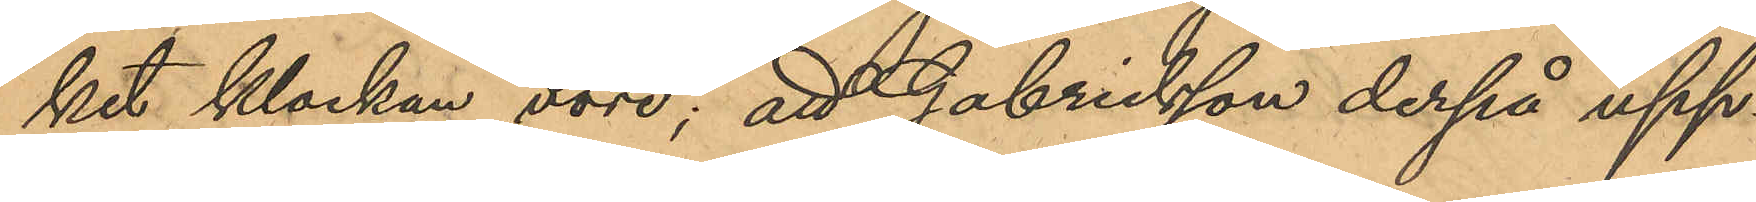ket klockan vore; att Gabrielsson derpå upp¬
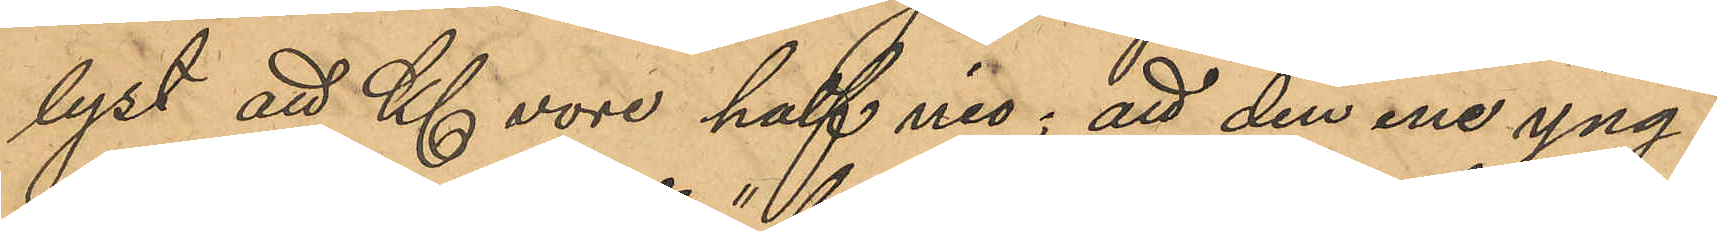lyst att Kl vore half nio; att den ene yng¬
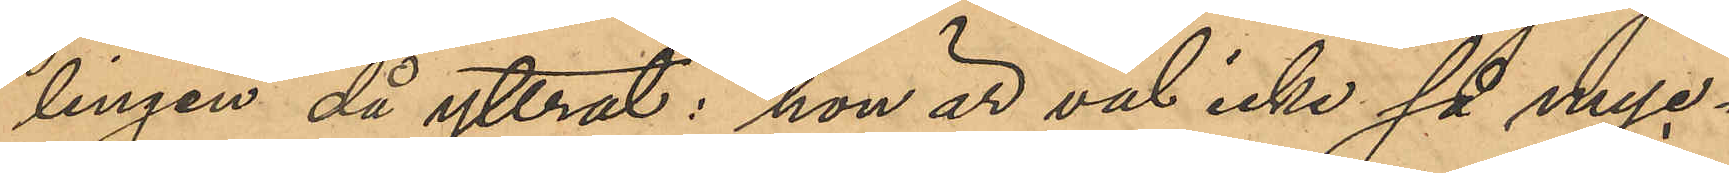lingen då yttrat: "hon är väl icke så myc¬
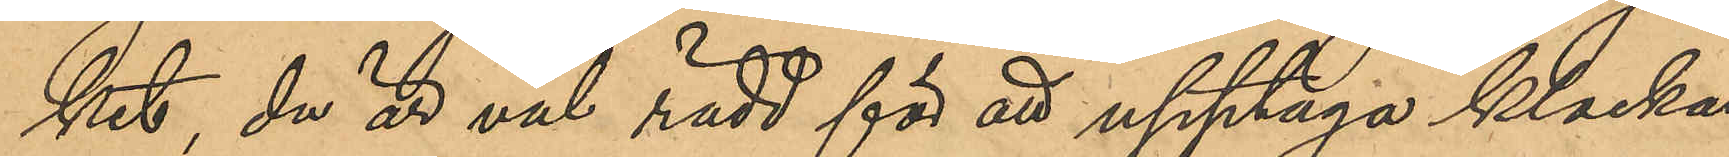ket, du är väl rädd för att upptaga klockan
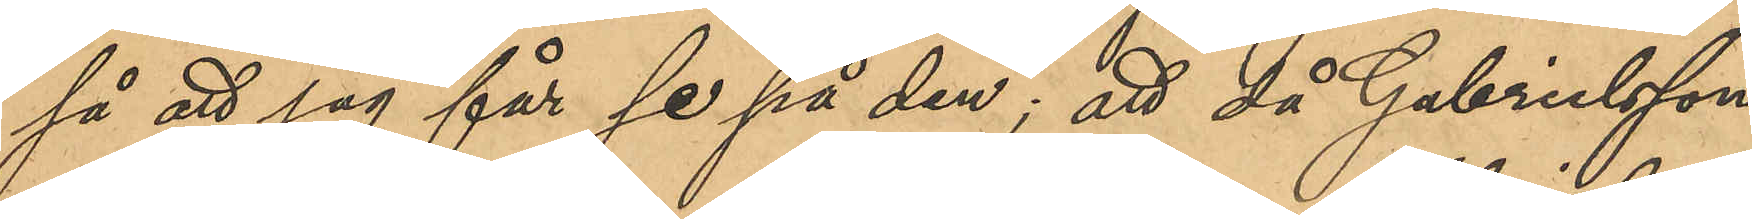så att jag får se på den"; att då Gabrielsson
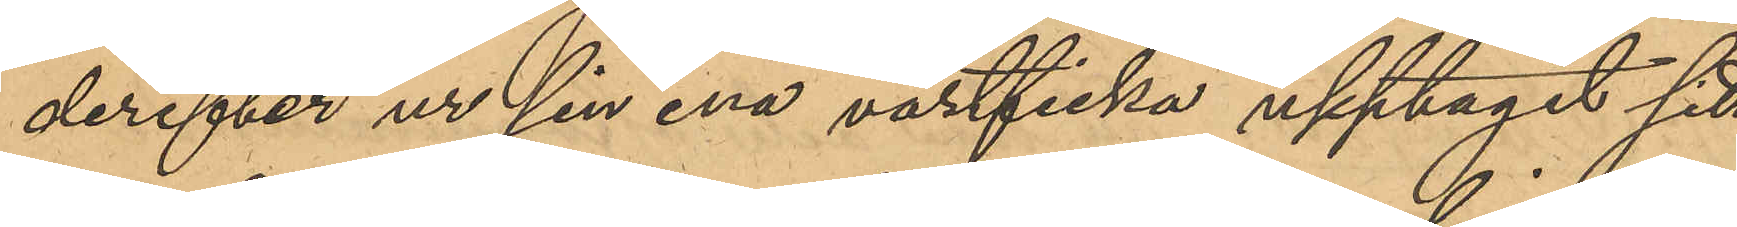derefter ur sin ena västficka upptagit sitt
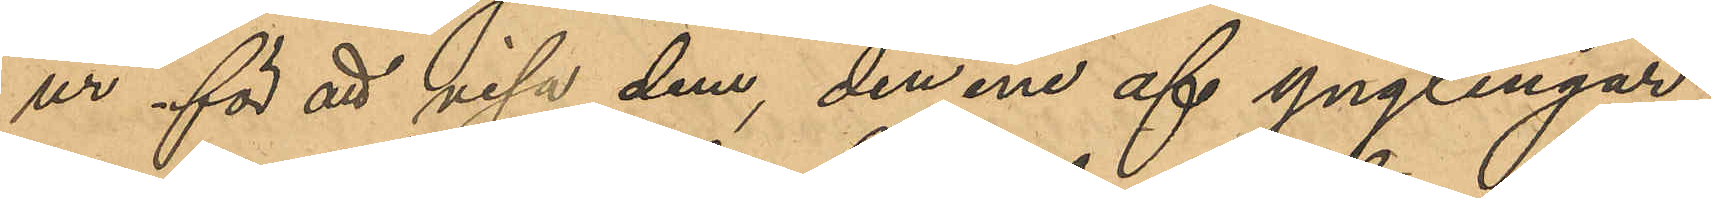ur för att visa dem, den ene af ynglingar¬
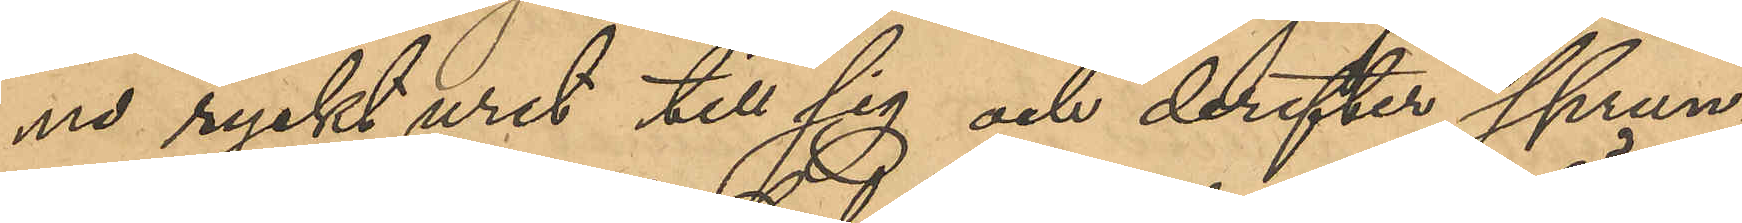na ryckt uret till sig och derefter sprun¬
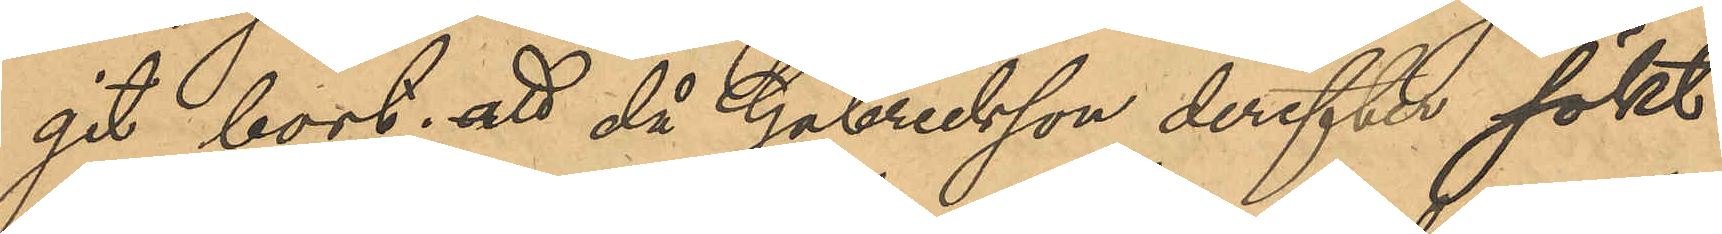git bort; att då Gabrielsson derefter sökt
